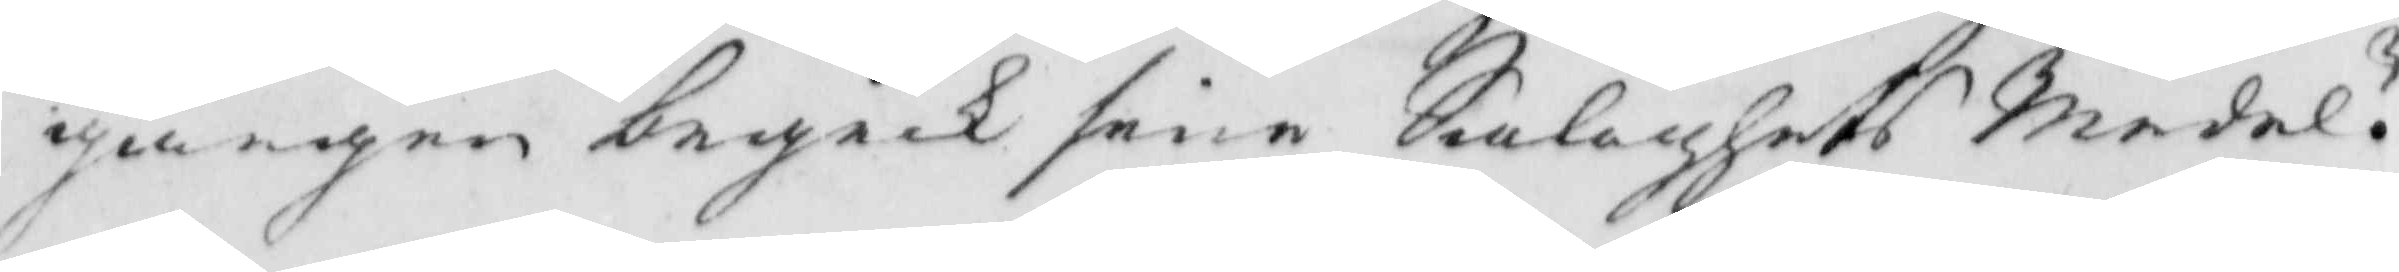gången begick sene Salighets Medel?
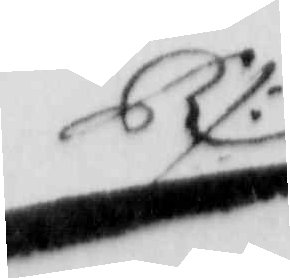Rs:
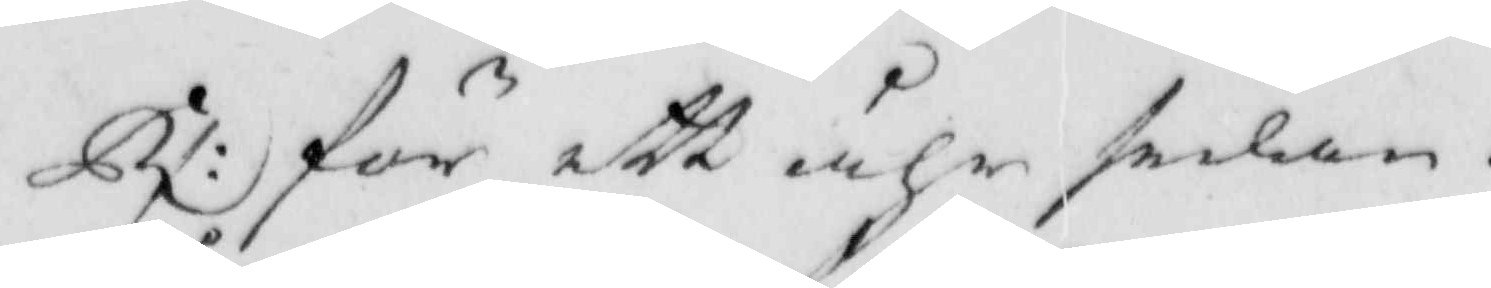Rs: för ett åhr sedan. 
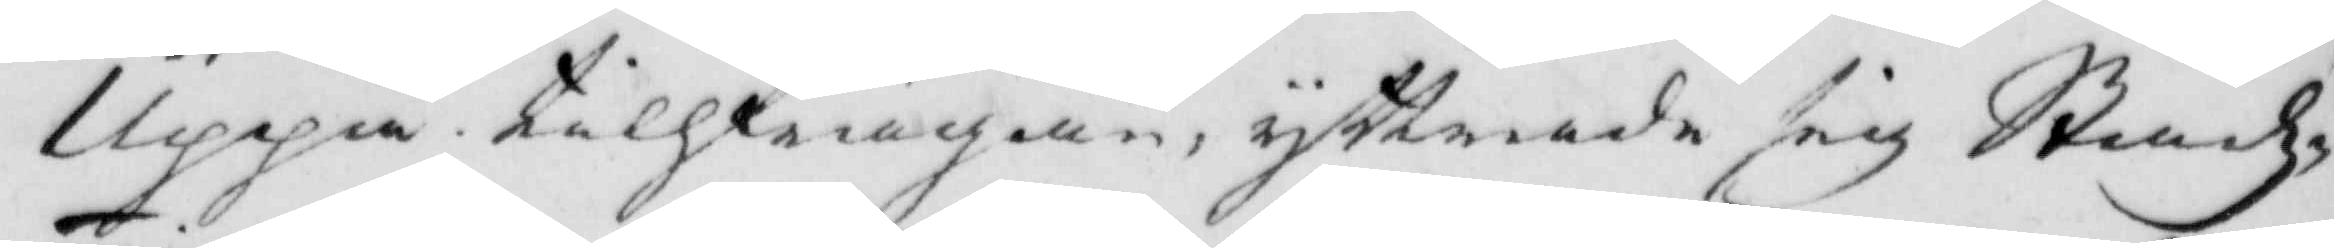Uppå tillfrågan, yttrade sig Stadz¬
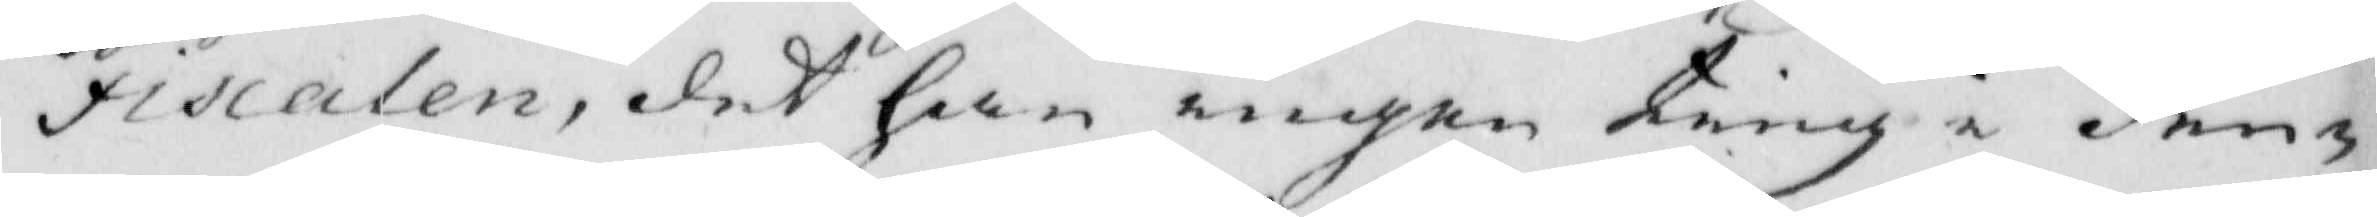Fiscalen, det han ingen ting i den¬
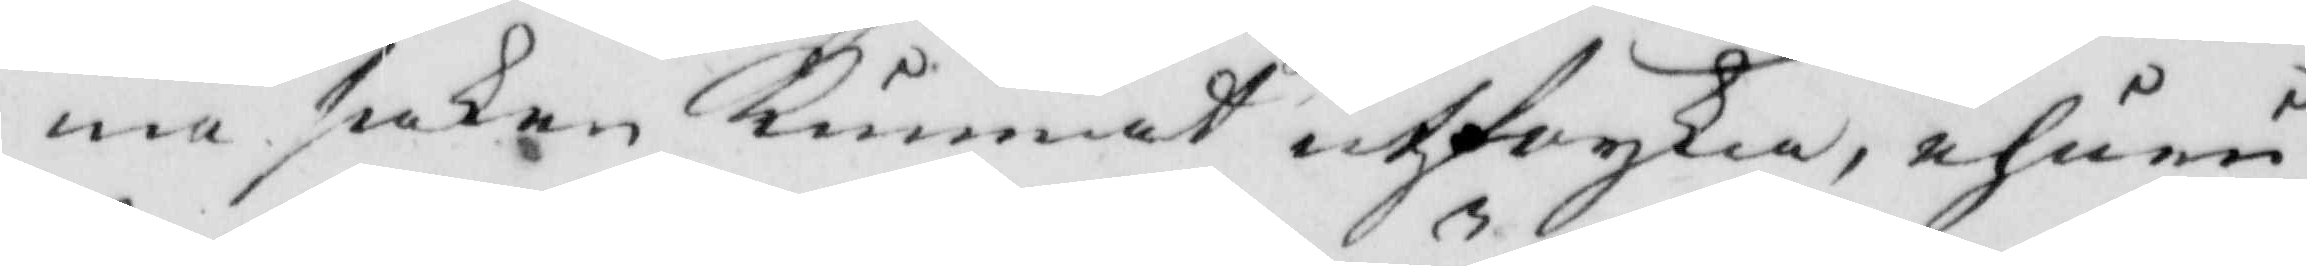na saken Kunnat utforska, ehuru
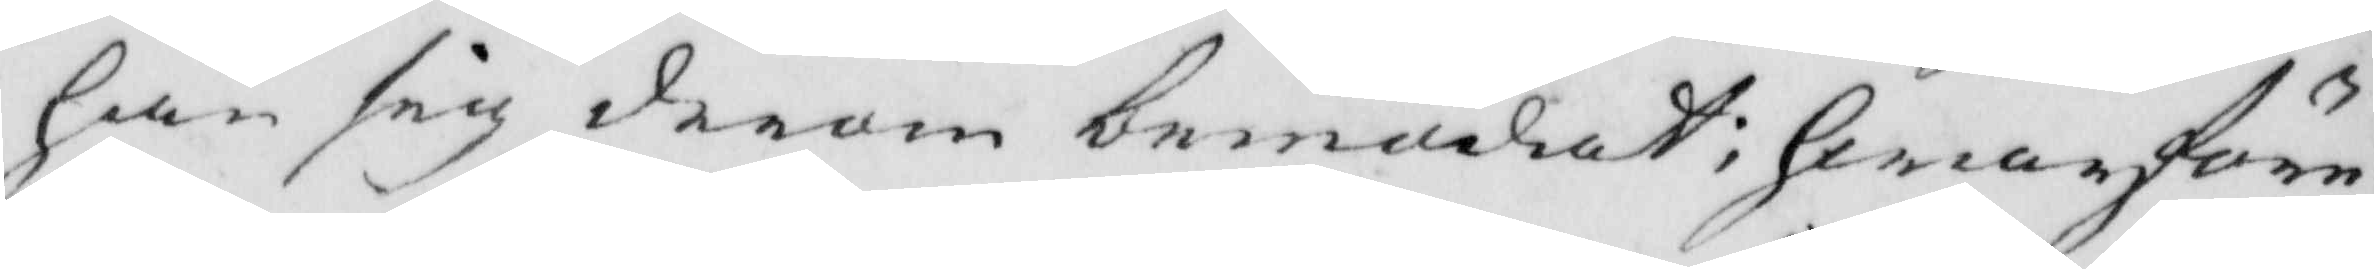han sig derom bemödat; Hwarföre
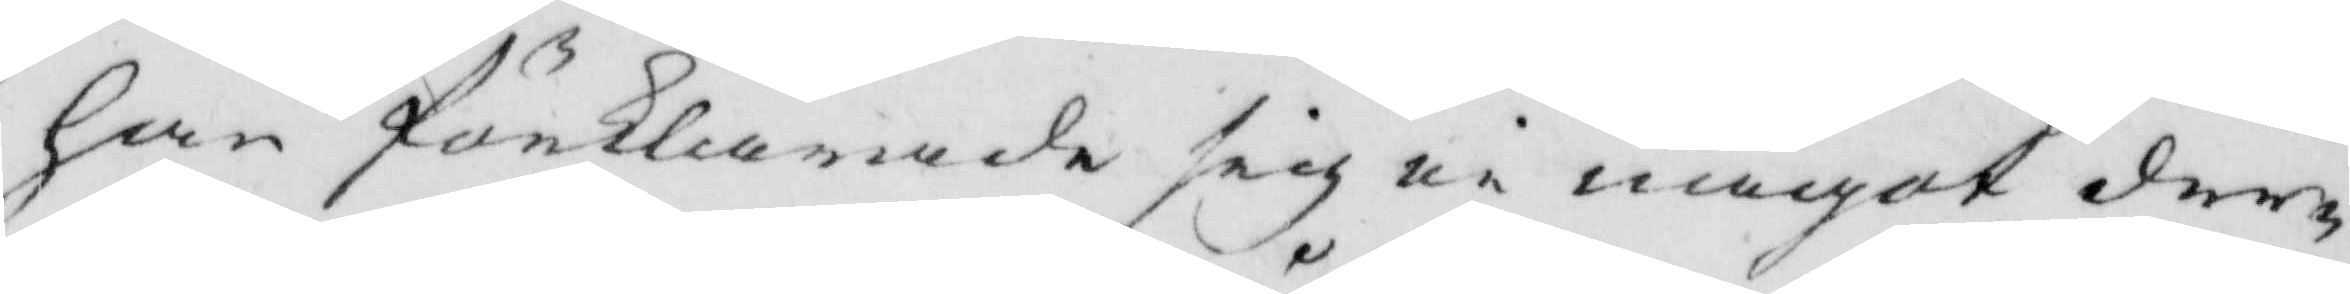han förklarade sig ei något der¬
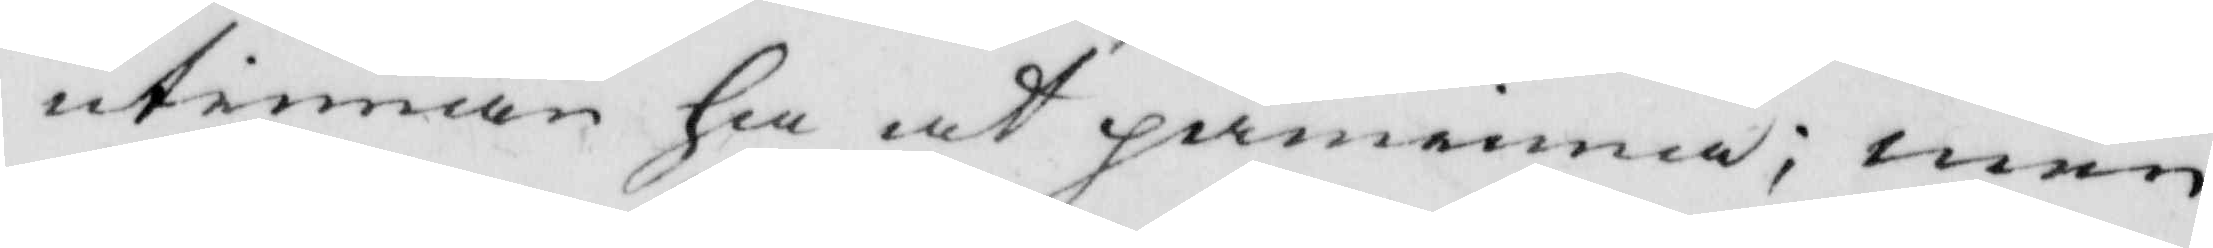utinnan ha at påminna; men
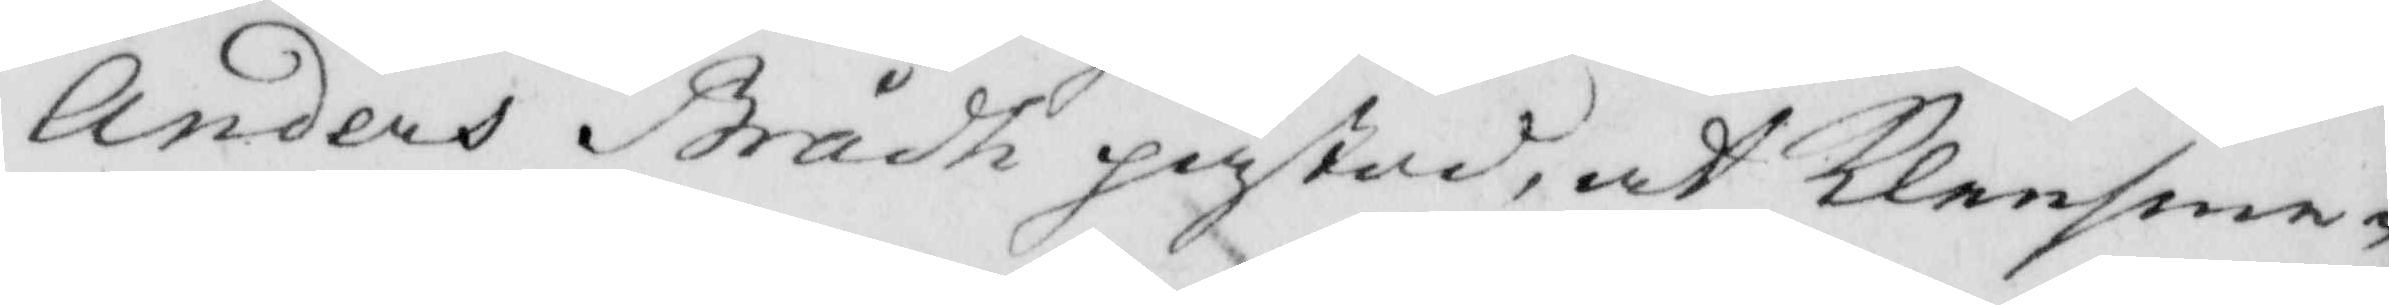Anders Brådh påstod, at Klensme¬
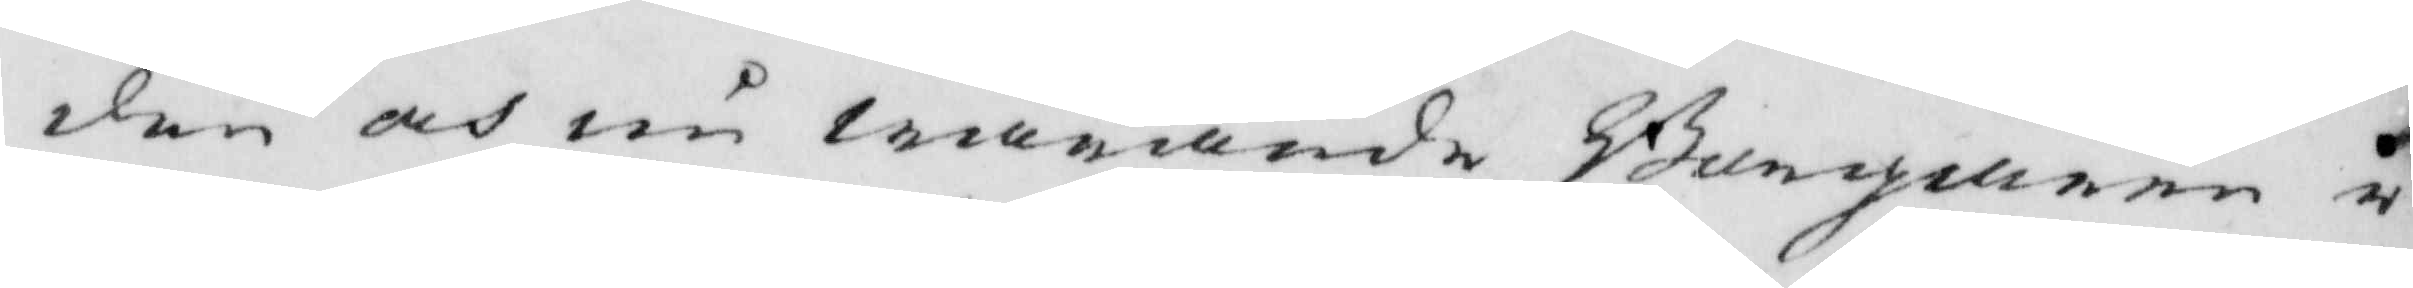den och nu warande Borgaren i
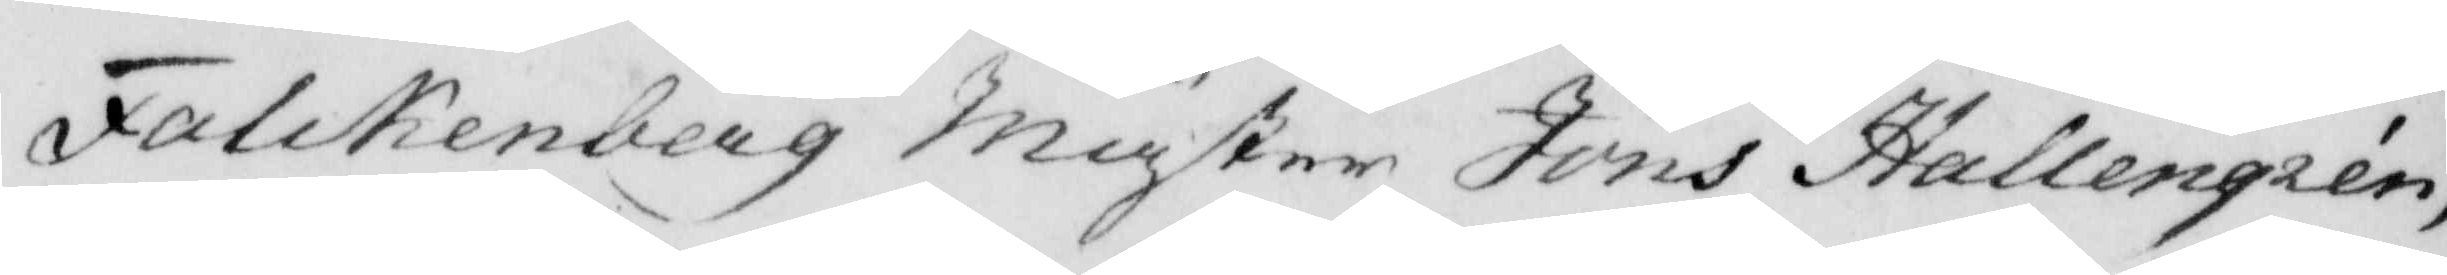Falckenberg Mäster Jöns Hallengren,
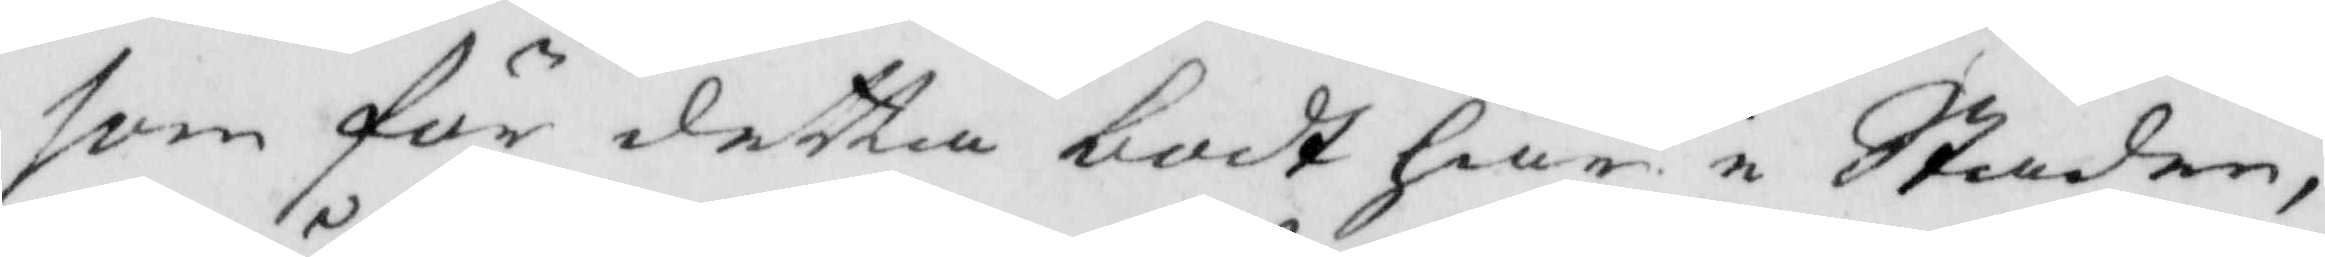som för detta bodt här i Staden,
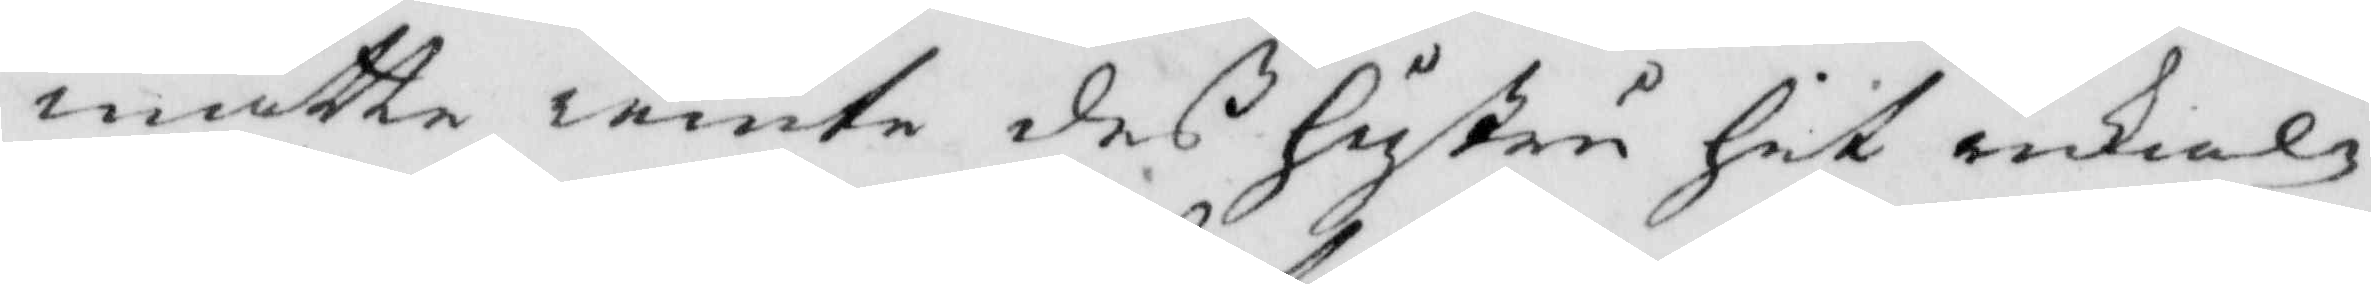måtte iemte deß hustru hit inkal¬
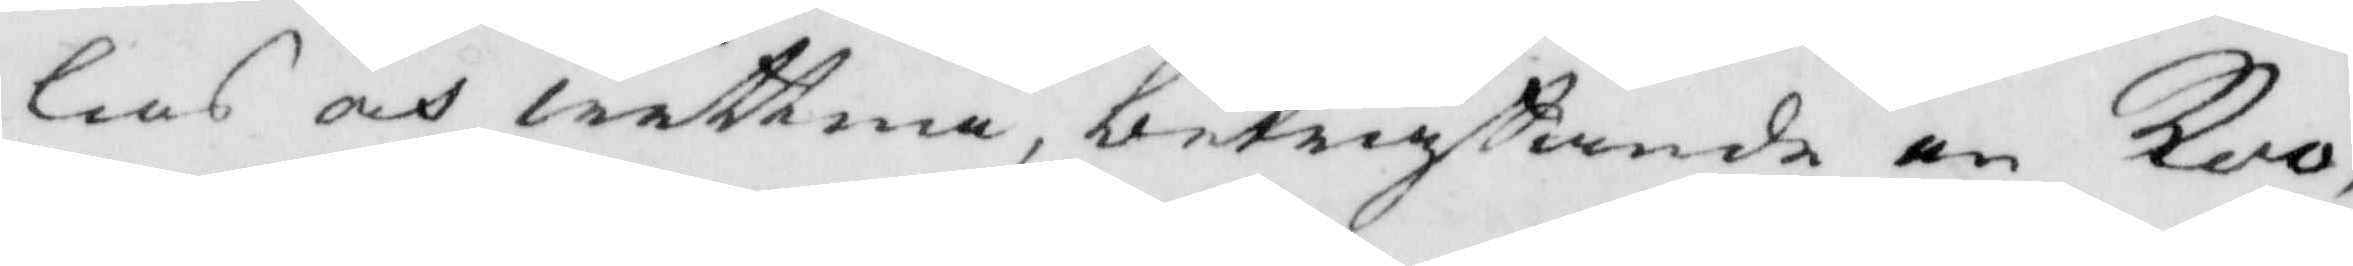las och wittna, beträffande en Koo,
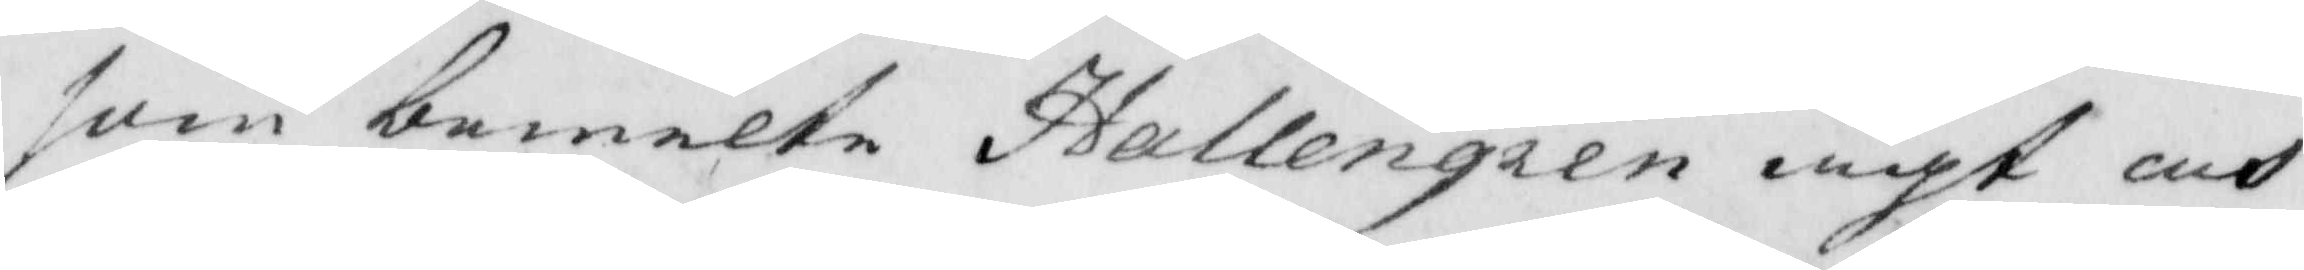som bemelte Hallengren ägt och
